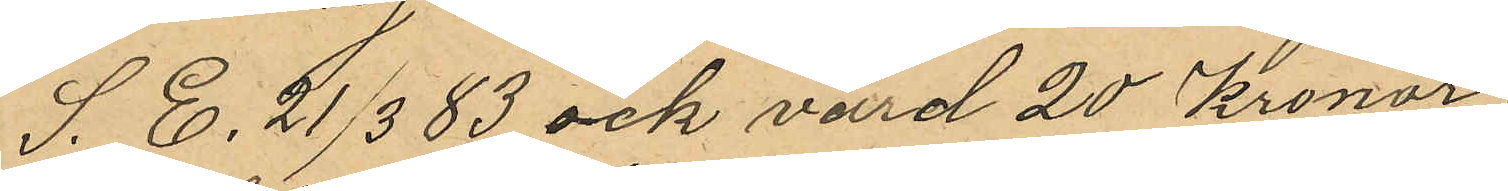S. E. 21/3 83 och värd 20 Kronor.
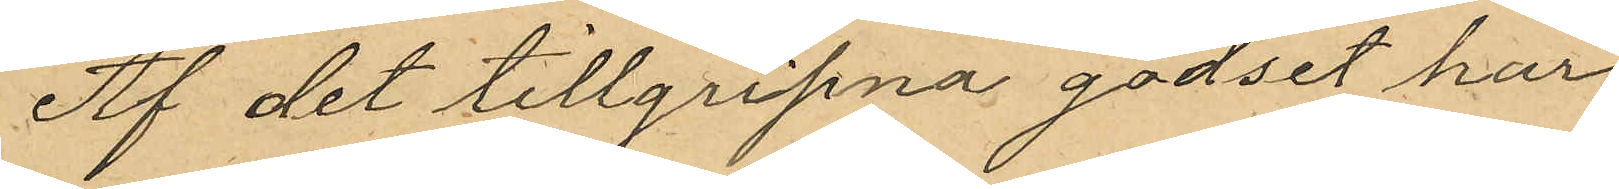Af det tillgripna godset har
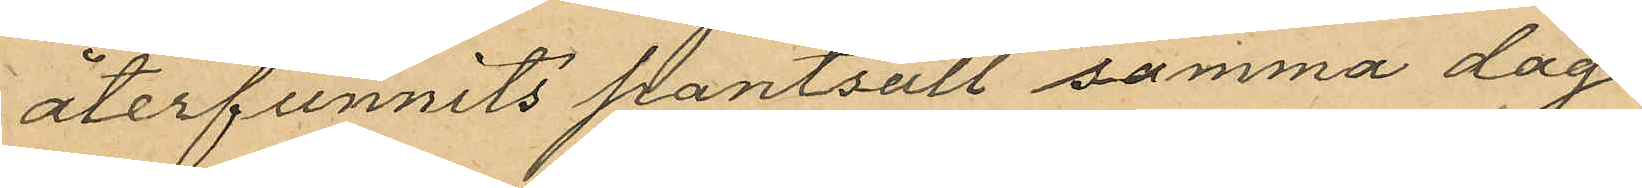återfunnits pantsatt samma dag
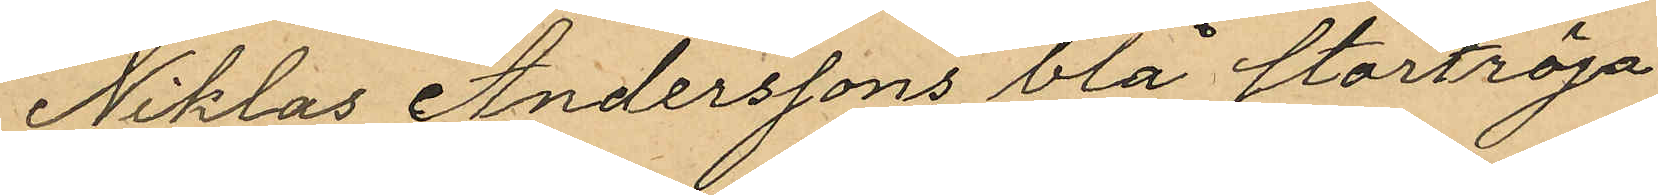Niklas Anderssons blå stortröja
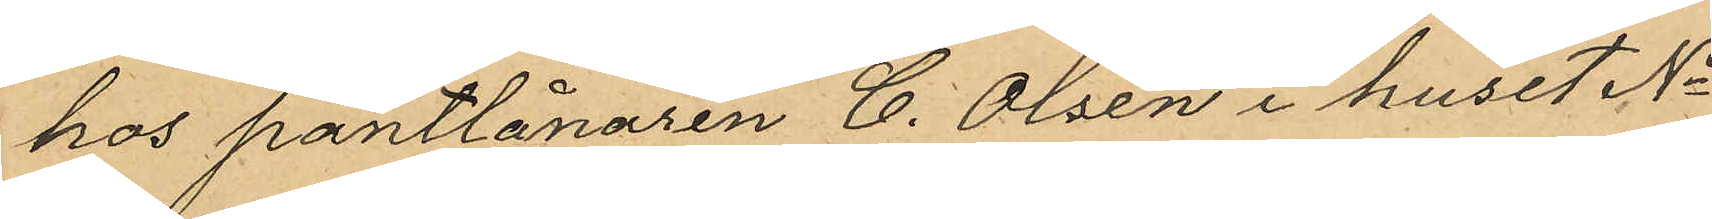hos pantlånaren C. Olsen i huset No
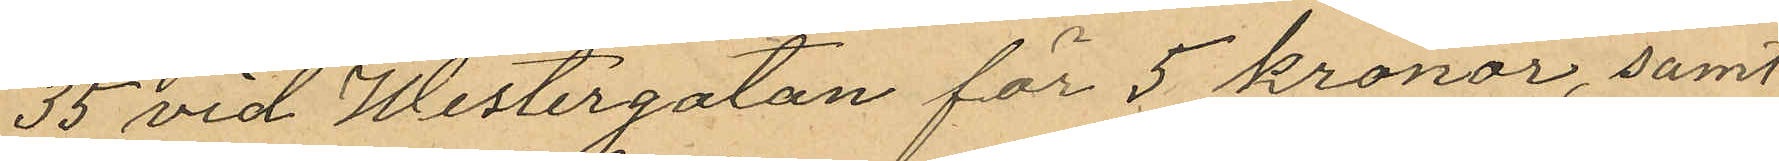35 vid Westergatan för 5 kronor, samt
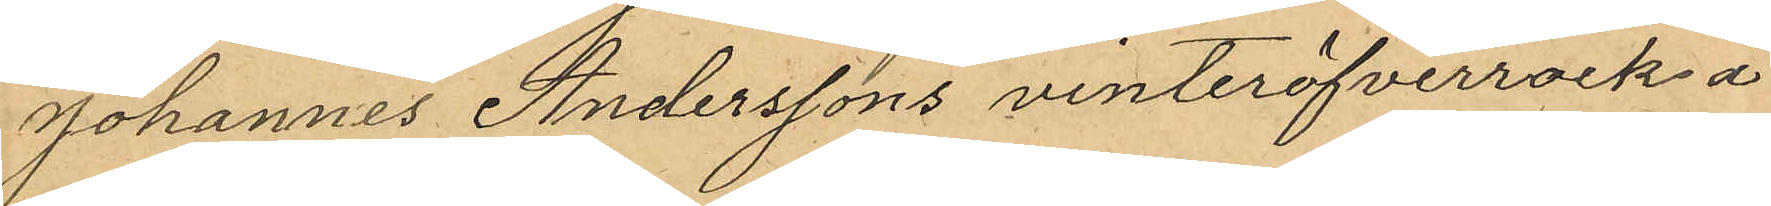Johannes Anderssons vinteröfverrock å
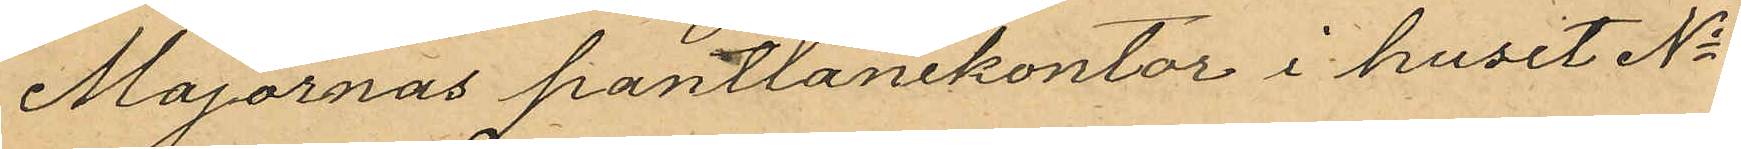Majornas pantlånekontor i huset No
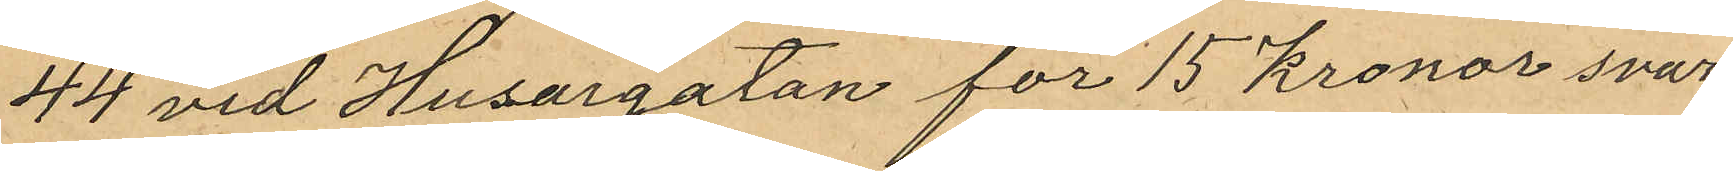44 vid Husargatan för 15 kronor svar¬
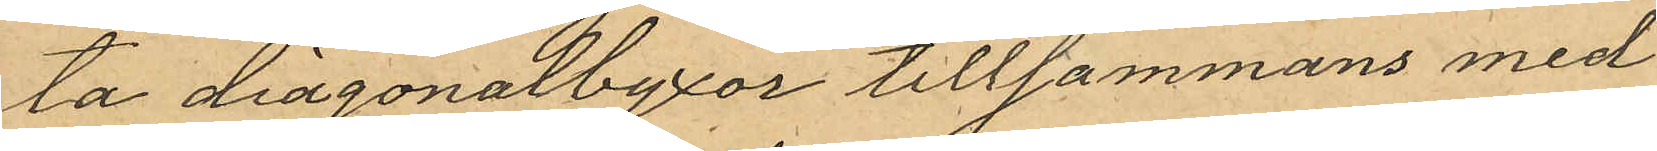ta diagonalbyxor tillsammans med
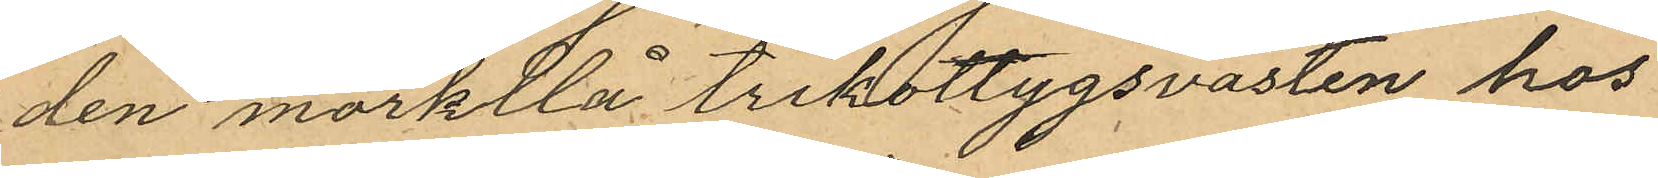den mörkblå trikottygsvästen hos
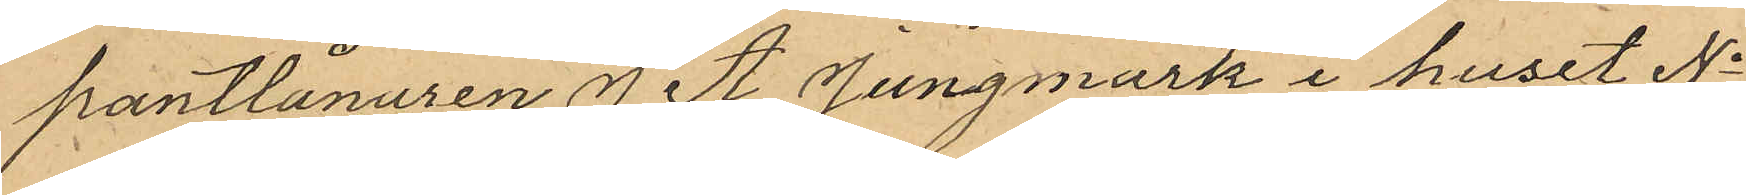pantlånaren J. A. Jungmark i huset No
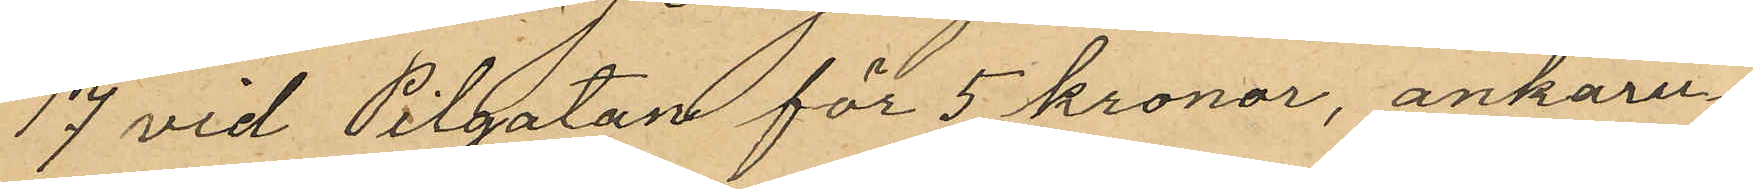17 vid Pilgatan för 5 kronor, ankaru¬
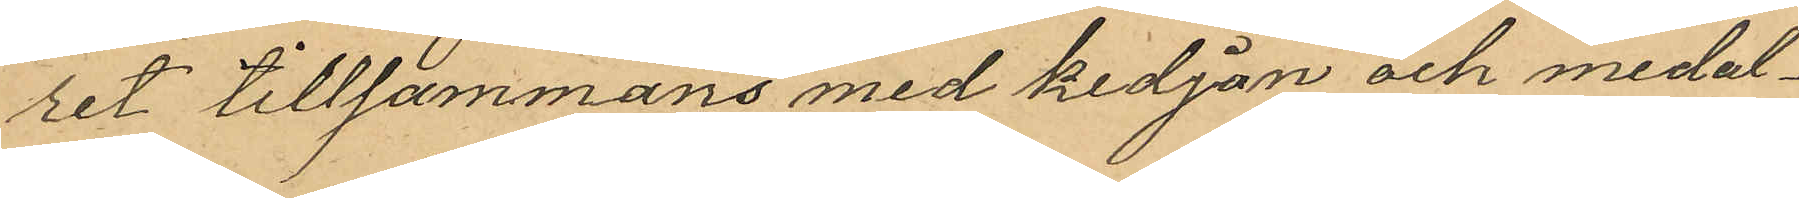ret tillsammans med kedjan och medal¬
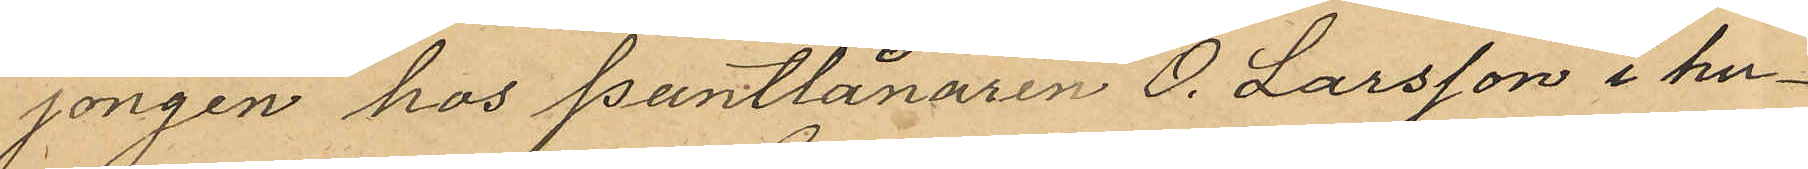jongen hos Pantlånaren O. Larsson i hu¬
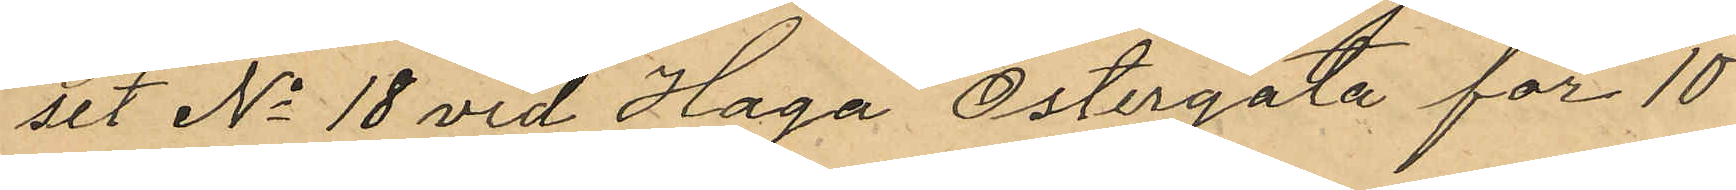set No 18 vid Haga Östergata för 10
